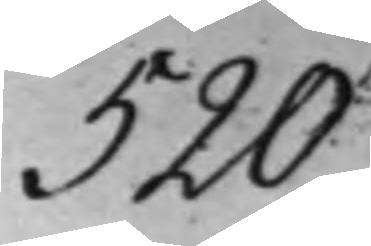520
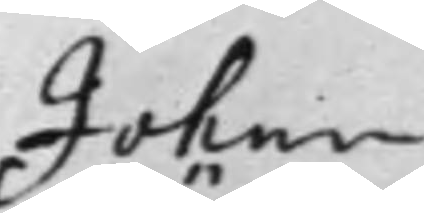Johan
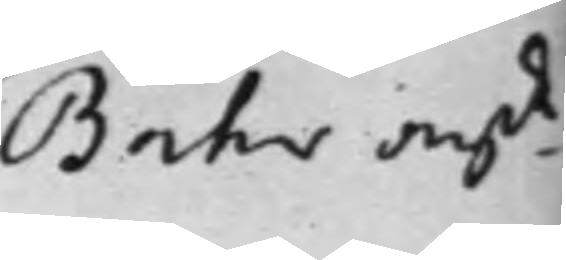Bähr an:de
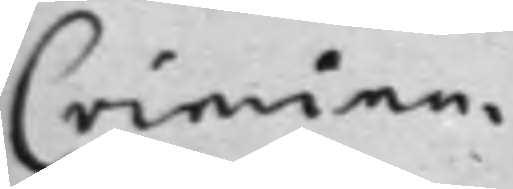Crimina¬
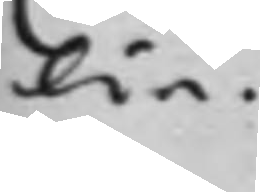lia.
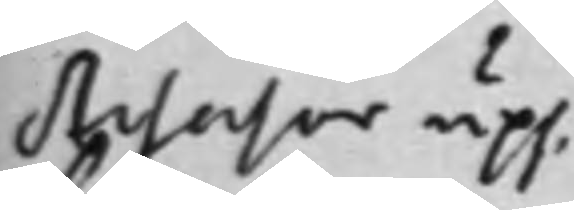Assessor upp¬
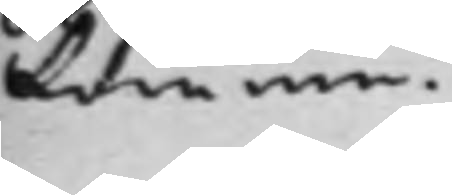komme.
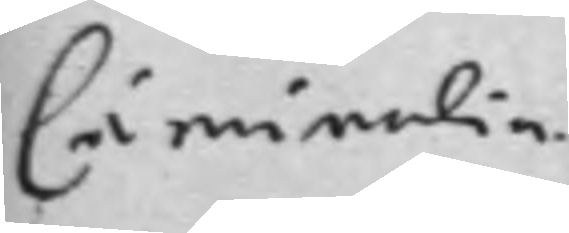Criminalia.
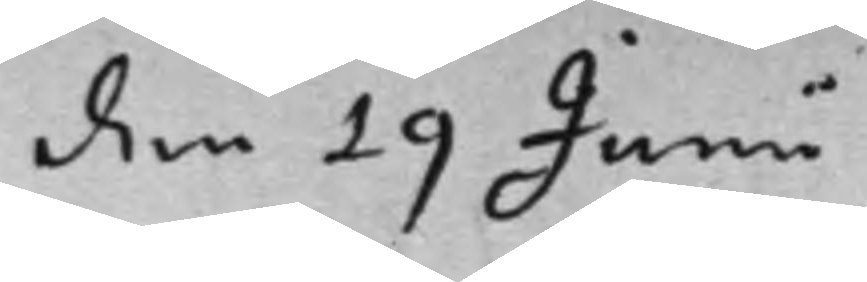den 19 Junii
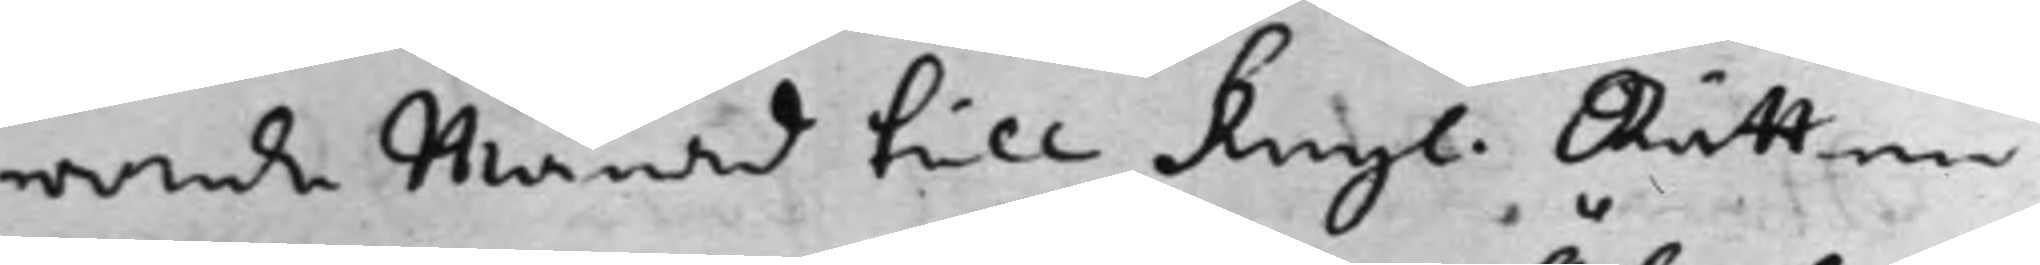rande Månad till Kongl. Rätten
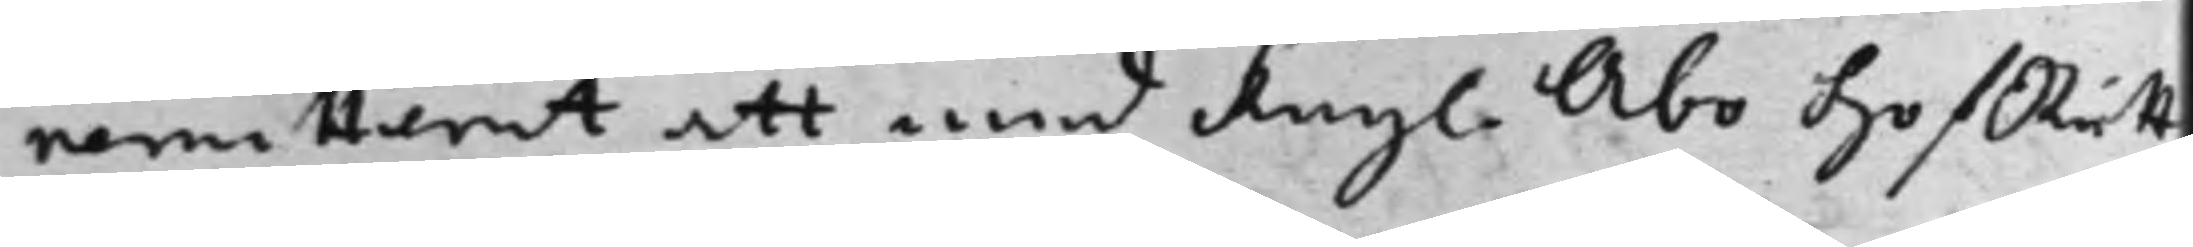remitterat att med Kongl. Åbo HofRätt
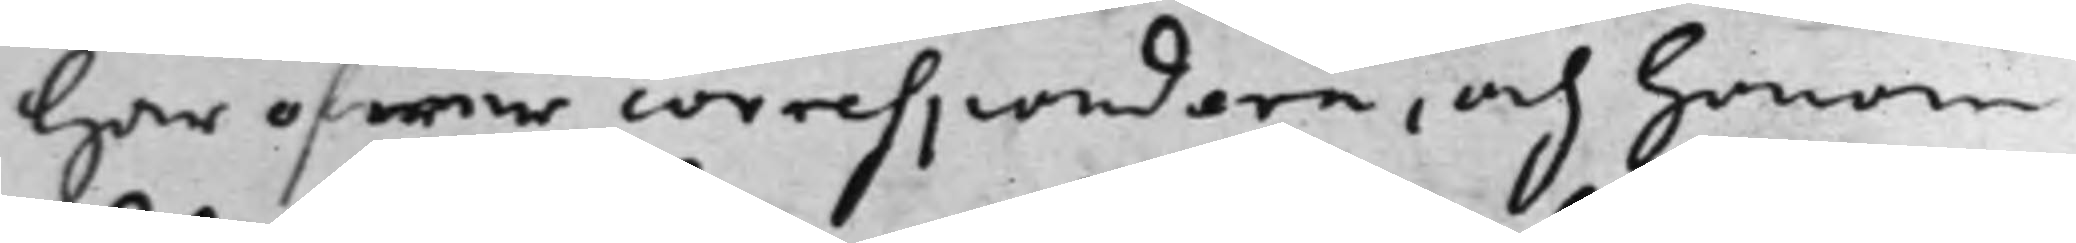här öfwer correspondera, och honom
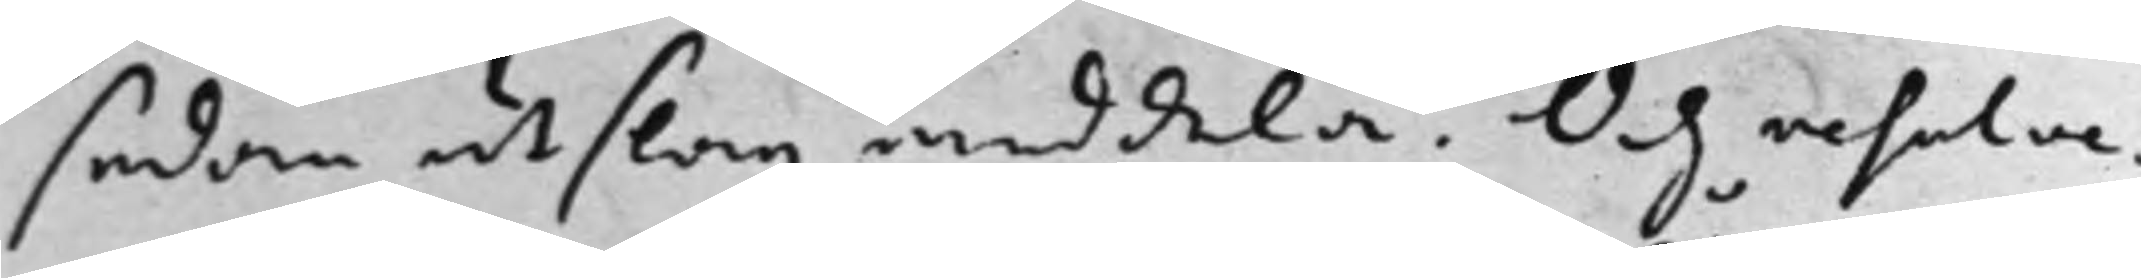sedan utslag meddela. Och resolve¬
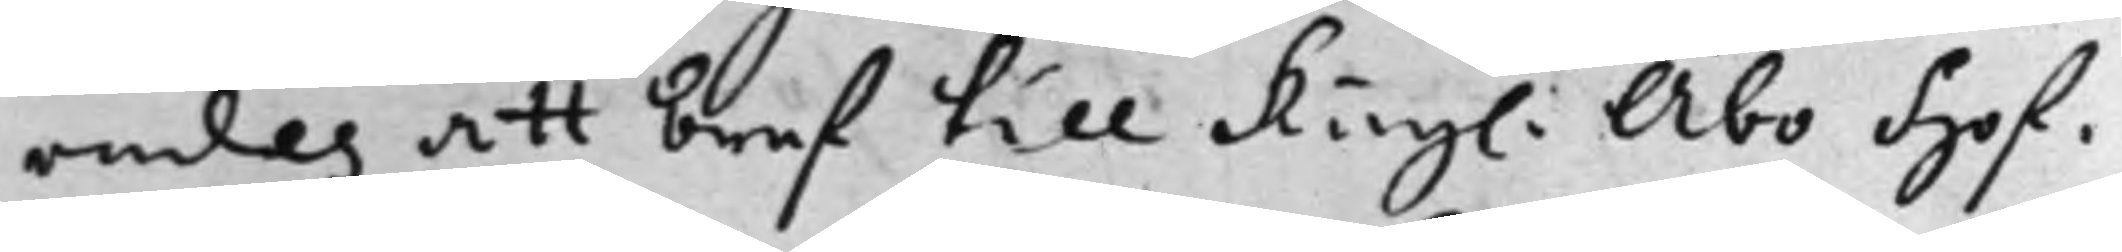rades att bref till Kongl. Åbo Hof¬
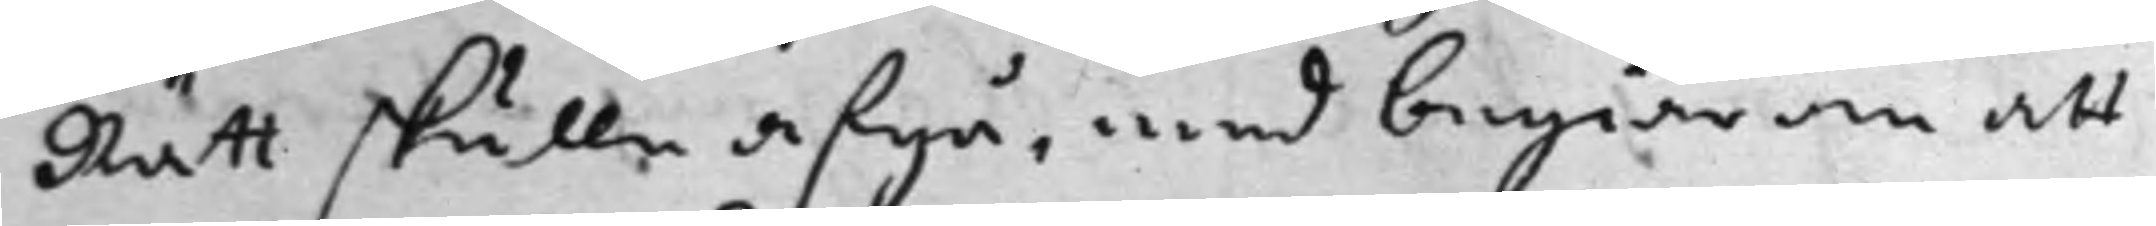Rätt skulle afgå, med begiäran att
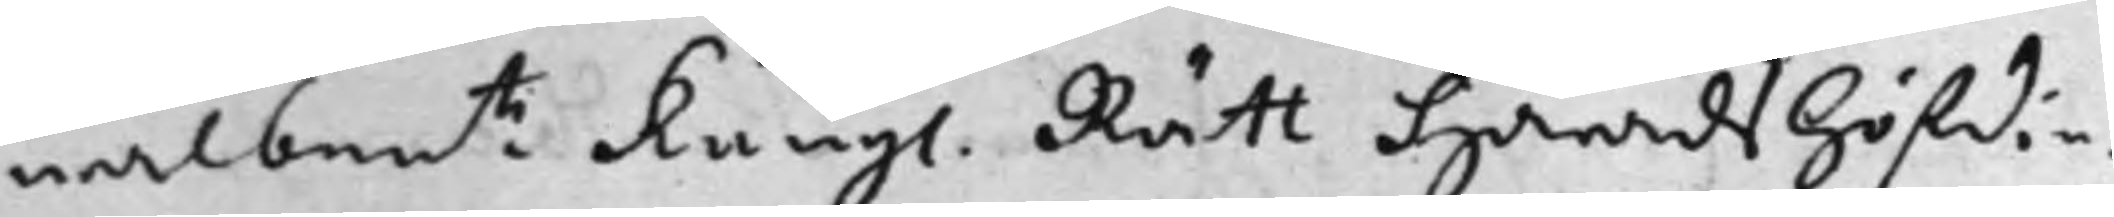wälbem:te Kongl. Rätt Häradshöfdin¬
